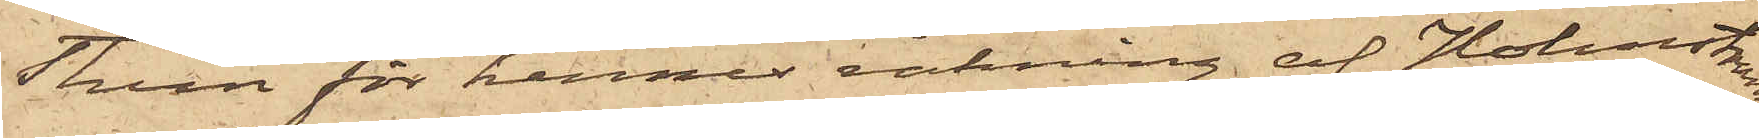Thorn för hennes räkning af Holmström
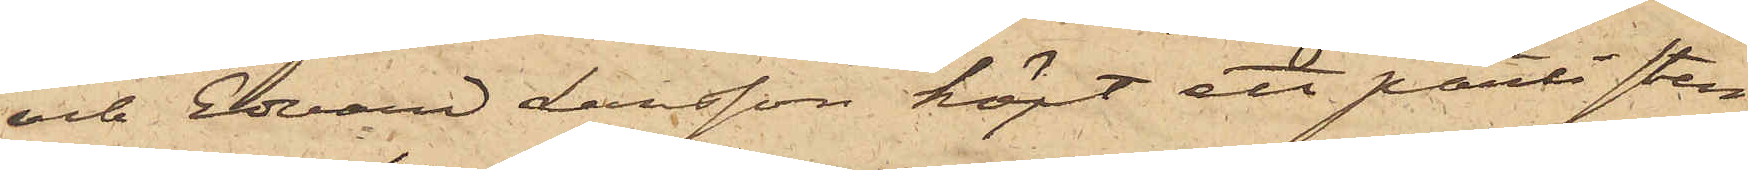och Edvard Larsson köpt ett parti sten¬
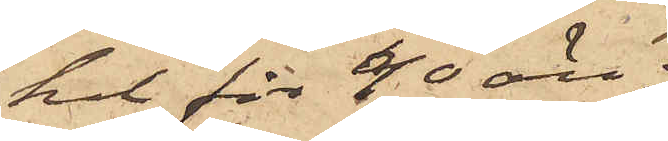kol för 40 öre;
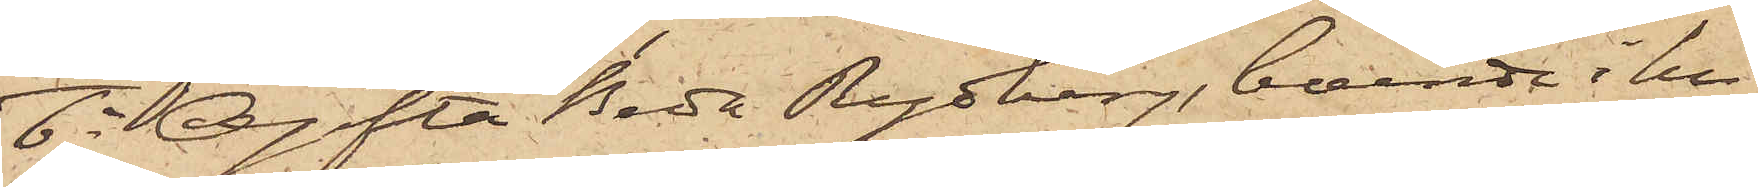6o Ogifta Beda Rydberg, boende i hu¬
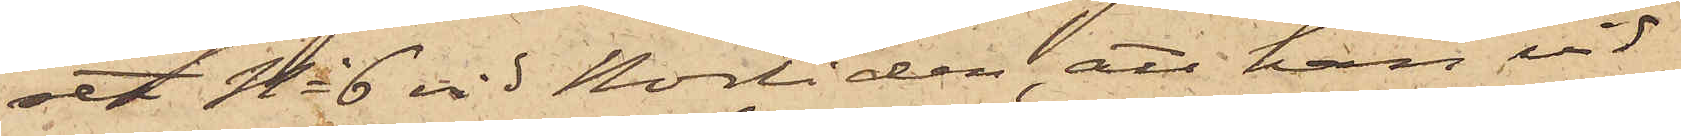set No 6 vid Norliden, att hon vid
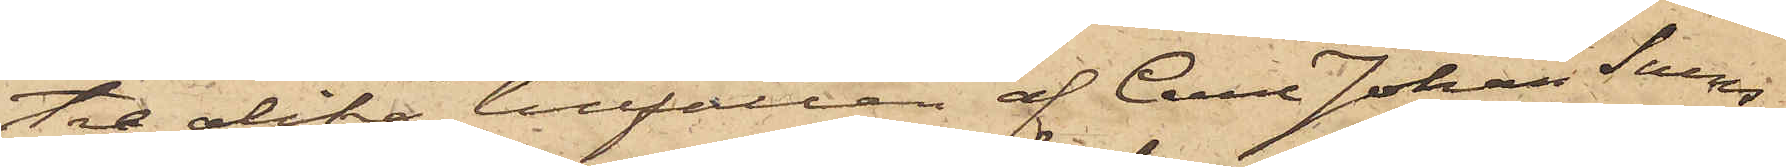tre olika tillfällen af Carl Johan Svens¬
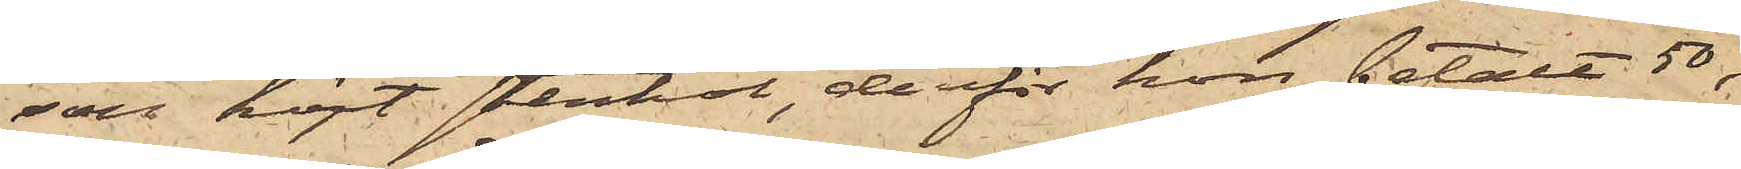son köpt stenkol, derför hon betalt 50, 
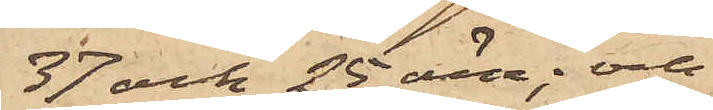37 och 25 öre; och
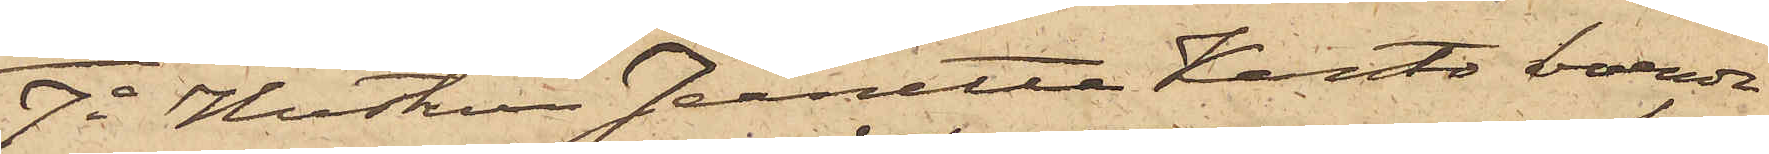7o Hustrun Jeanette Kanto boende
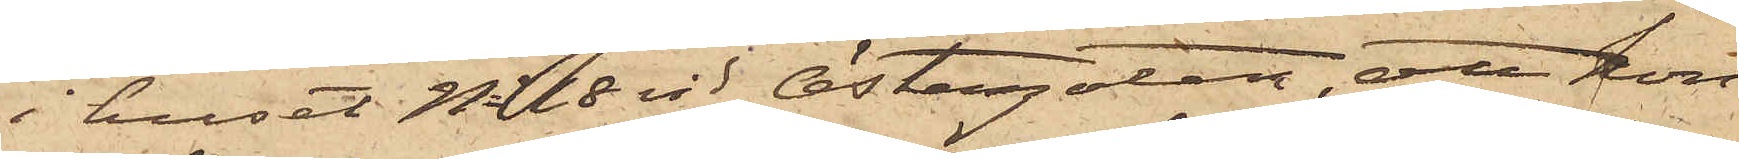i huset No 18 vid Östergatan, att hon
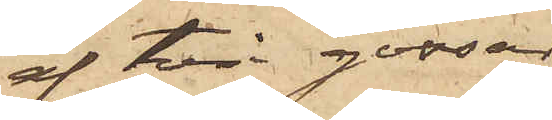af två gossar
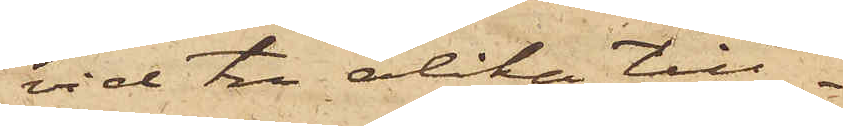vid tre olika till¬
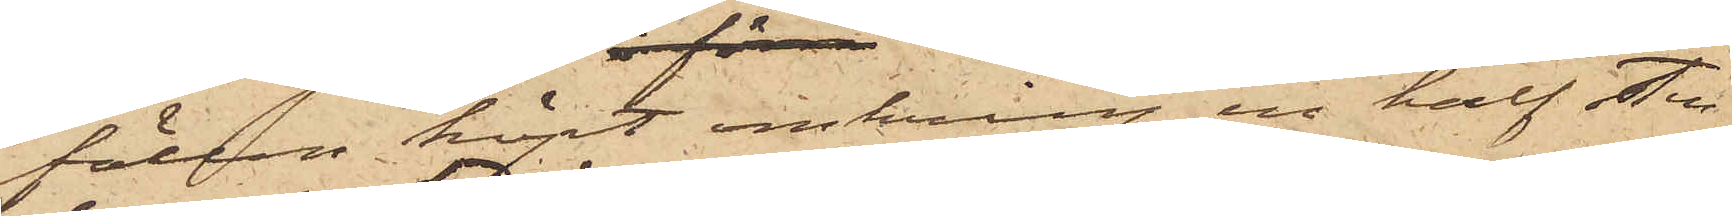fällen köpt omkring en half fot
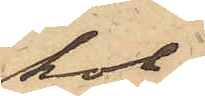kol,
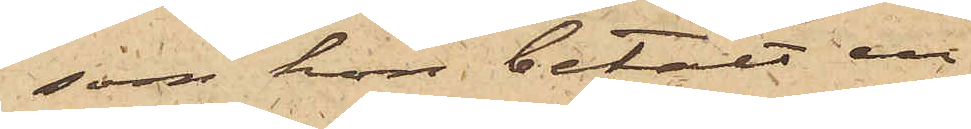som hon betalt en
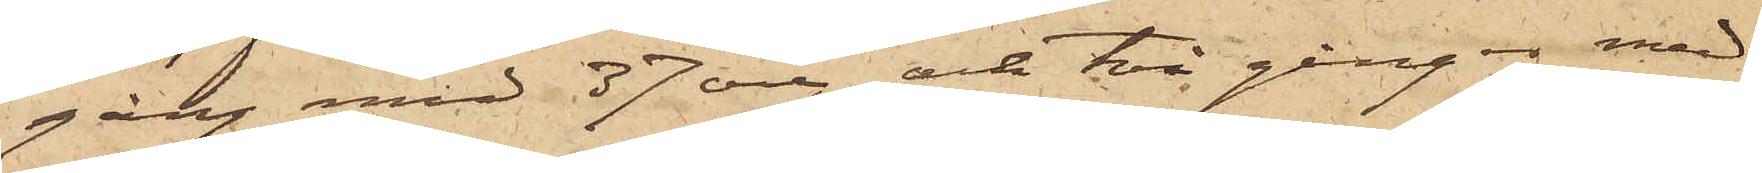gång med 37 öre och två gånger med
